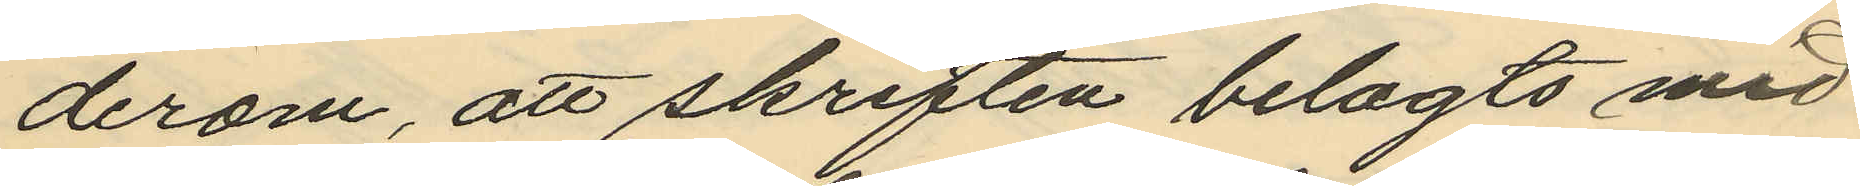derom, att skriften belagts med
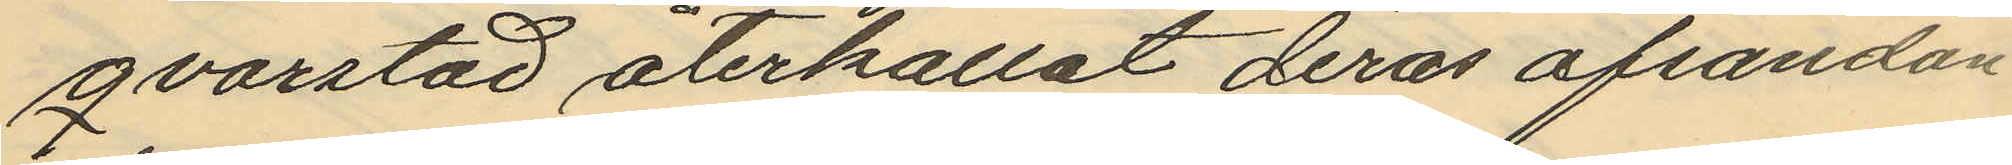qvarstad återkallat deras afsandan
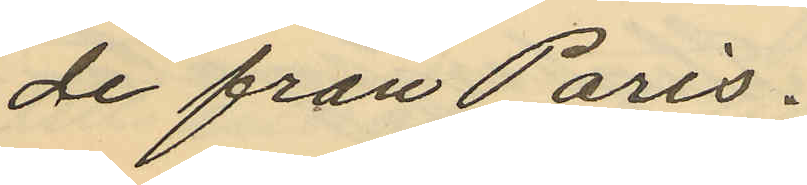de från Paris.
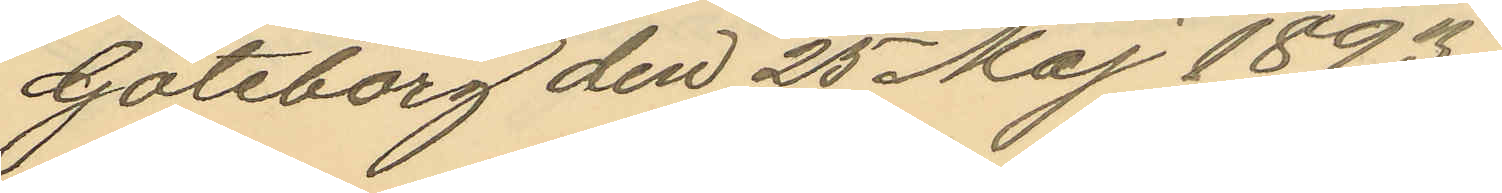Göteborg den 25 Maj 1893.
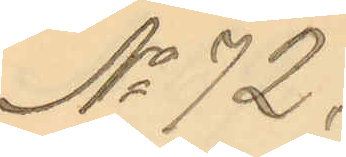No 72.
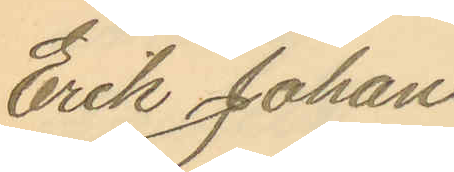Erik Johan
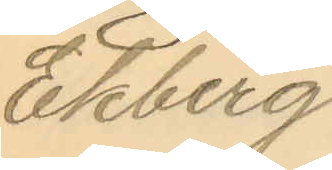Ekberg
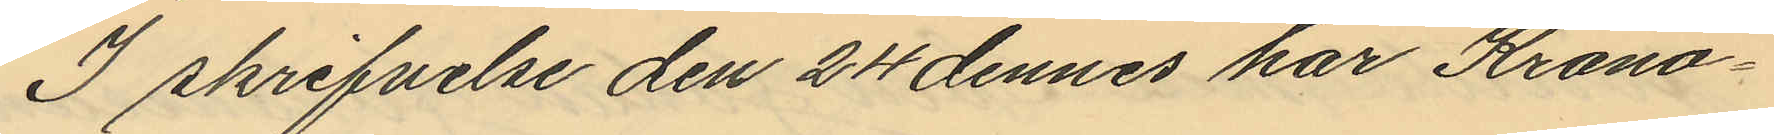I skrifvelse den 24 dennes har Krono¬
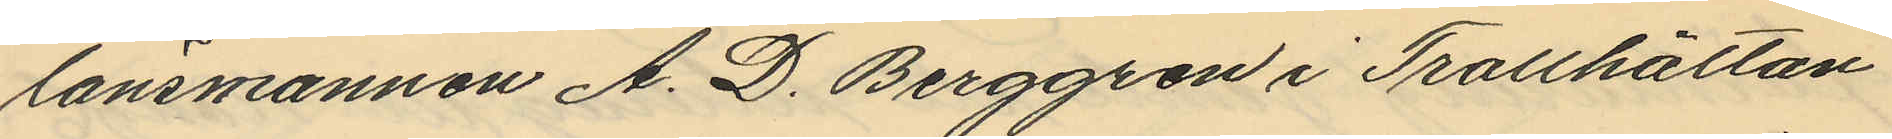länsmannen A. D. Berggren i Trotthättan
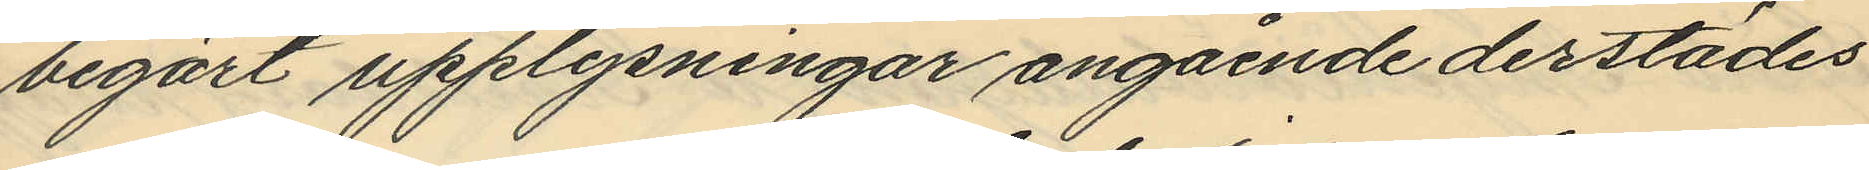begärt upplysningar angående derstädes
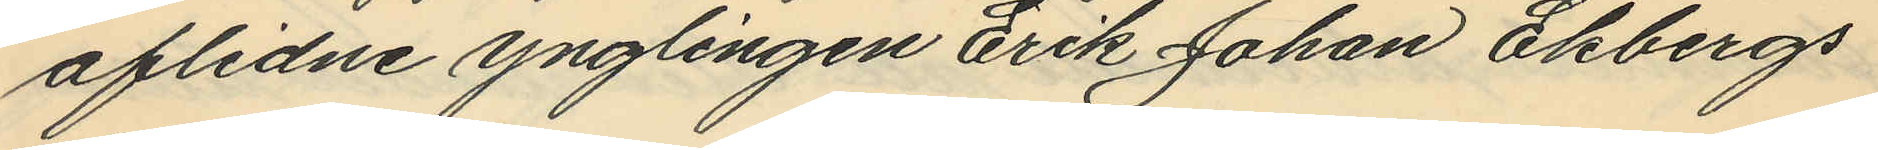aflidne ynglingen Erik Johan Ekbergs
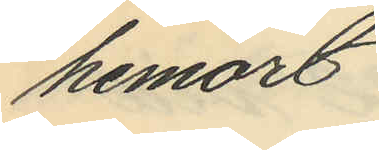hemort
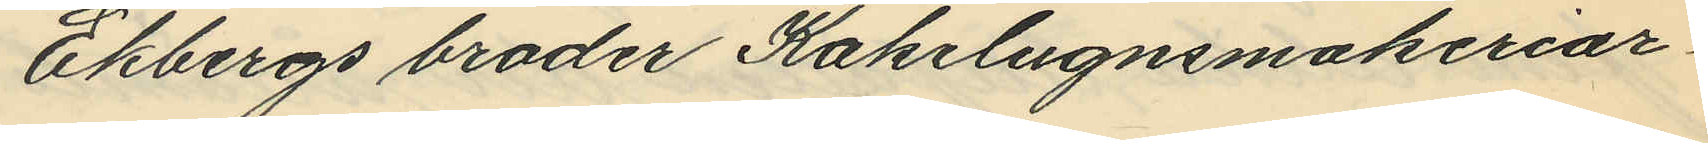Ekbergs broder Kakelugnsmakeriar¬
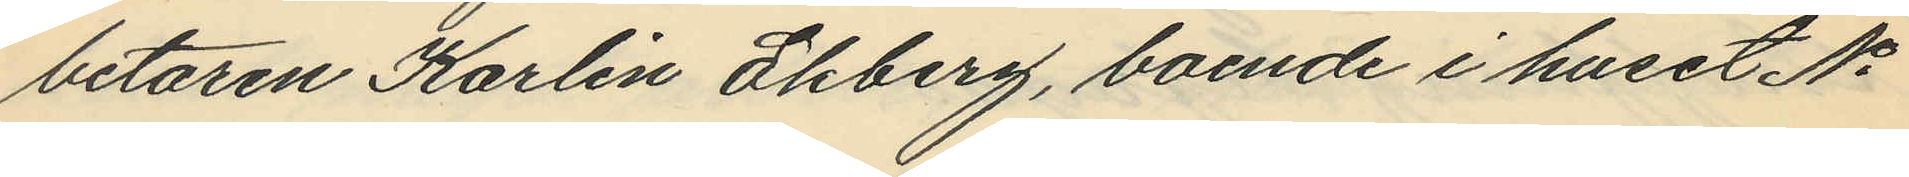betaren Karlin Ekberg, boende i huset No
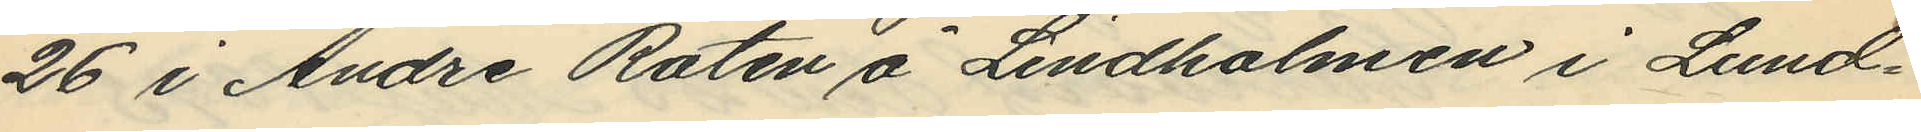26 i Andre Roten å Lindholmen i Lund¬
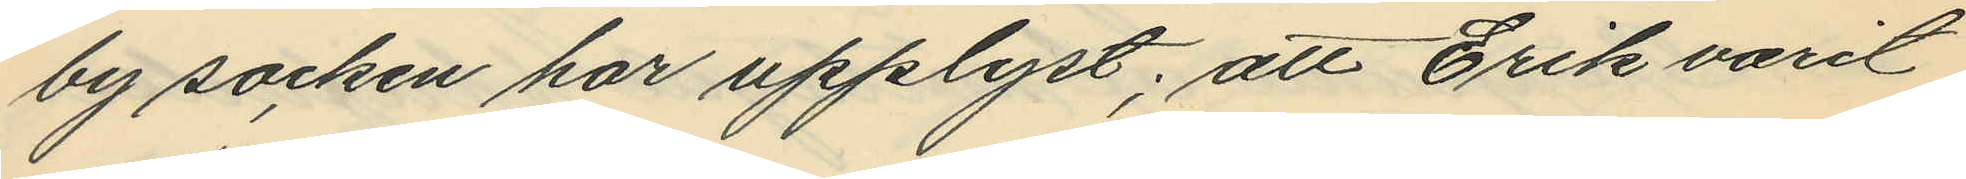by socken har upplyst; att Erik varit
